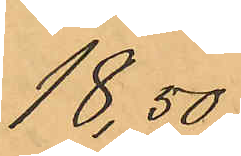18,50
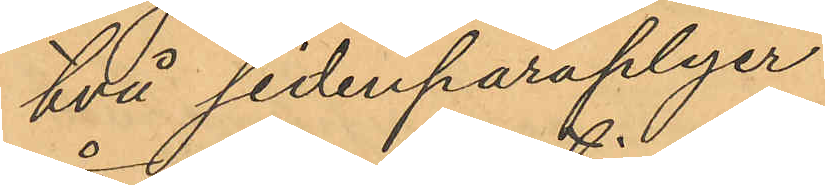två sidenparaplyer
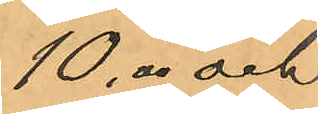10,00 och
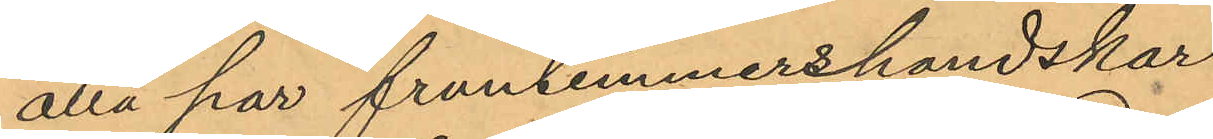åtta par fruntimmershandskar
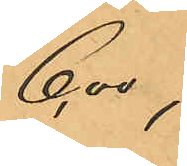6,00;
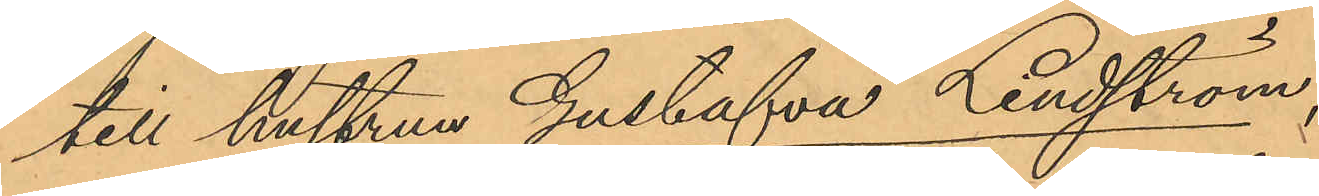till hustrun Gustafva Lindström,
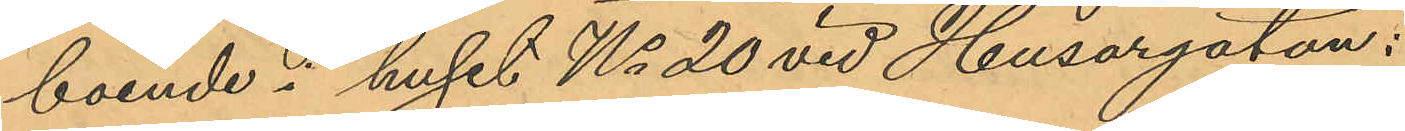boende i huset No 20 vid Husargatan:
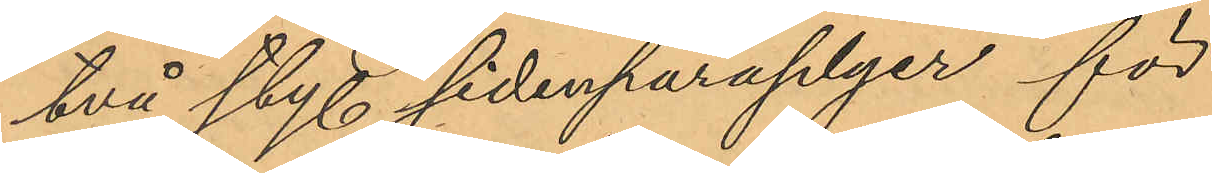två sty. sidenparaplyer för
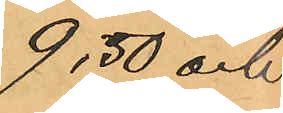9,50 och
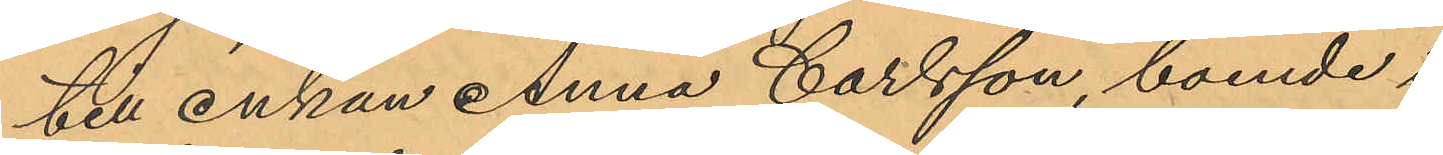till Enkan Anna Carlsson, boende i
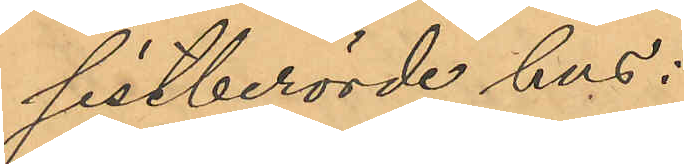sistberörde hus:
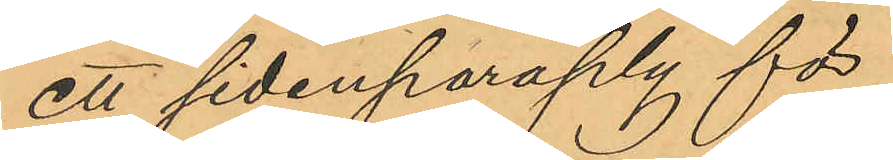ett sidenparaply för
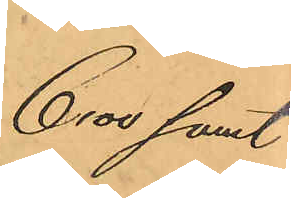6,00 samt
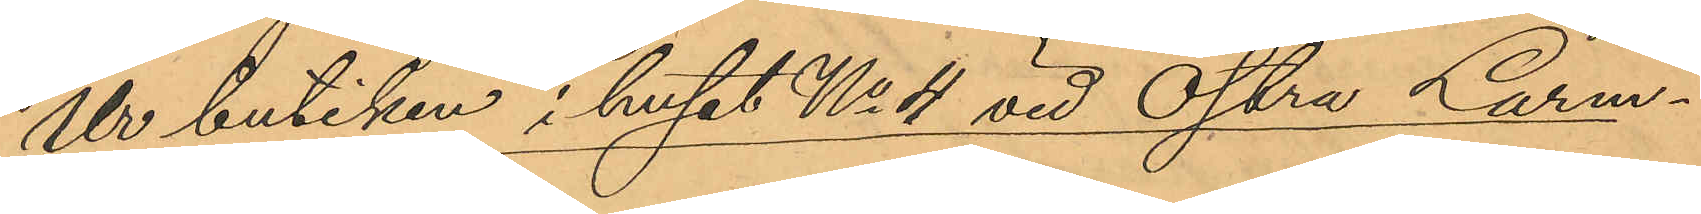Ur butiken i huset No 4 vid Östra Larm¬
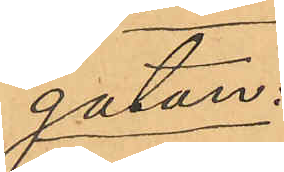gatan.
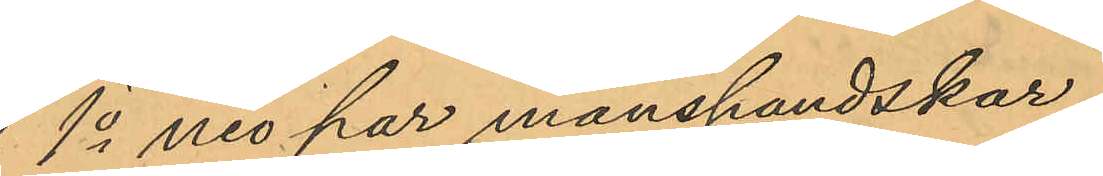1o nio par manshandskar,
